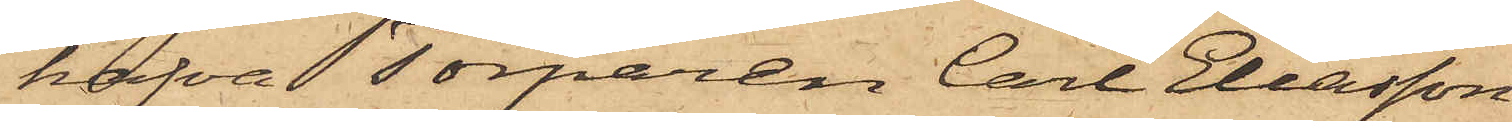hafva Torparen Carl Eliasson
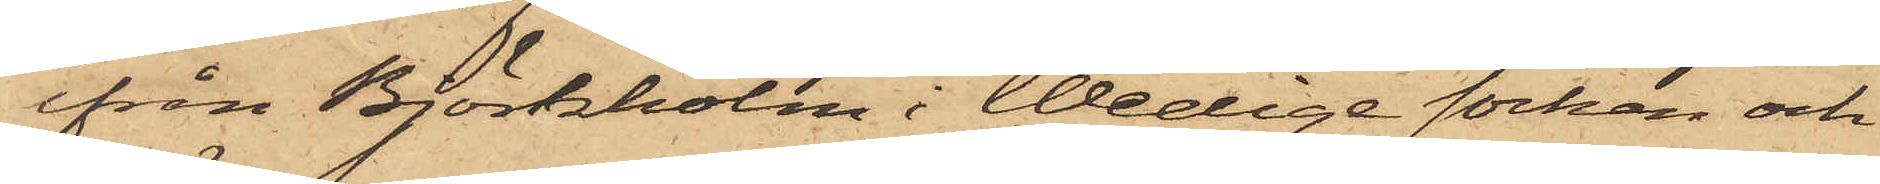ifrån Björkholm i Wedige socken och
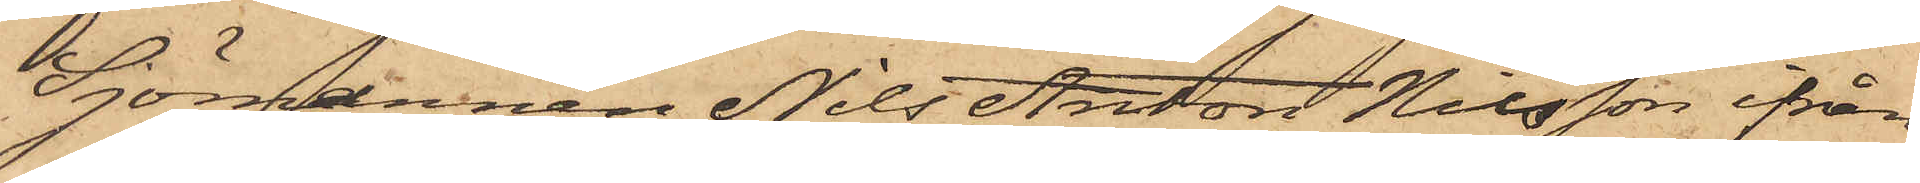Sjömannen Nils Anton Nilsson ifrån
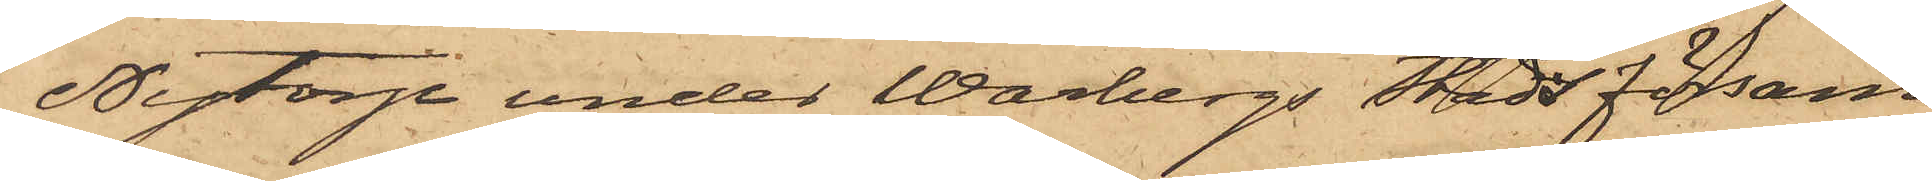Nytorp under Warbergs Stads försam¬
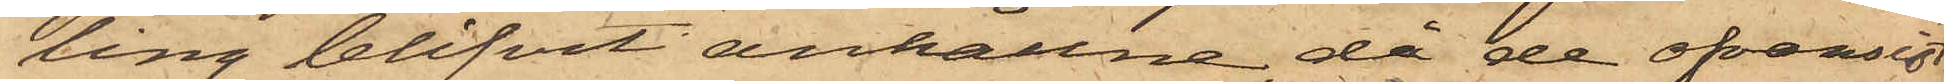ling blifvit anhållne, då de ofvansist¬
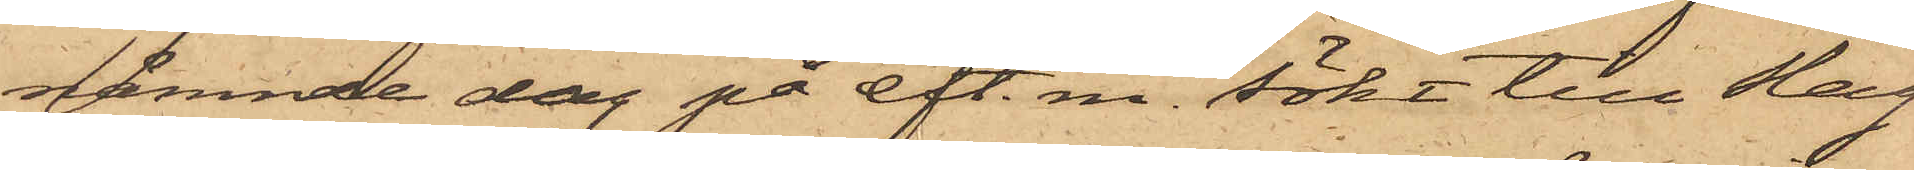nämnde dag på eft. m. sökt till Slag¬
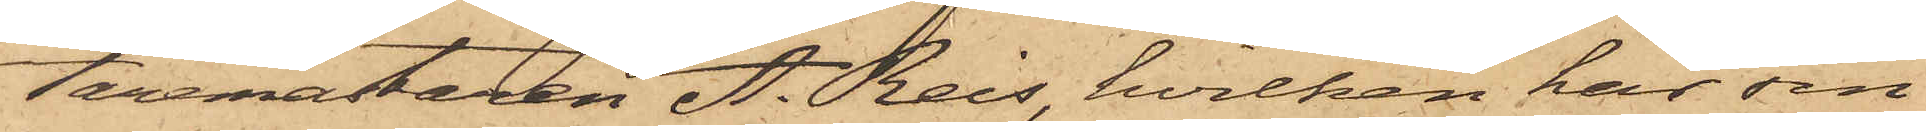taremästaren A. Reis, hvilken har sin
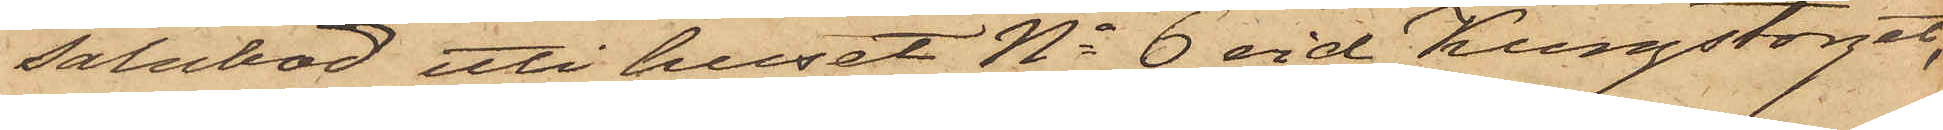salubod uti huset No 6 vid Kungstorget,
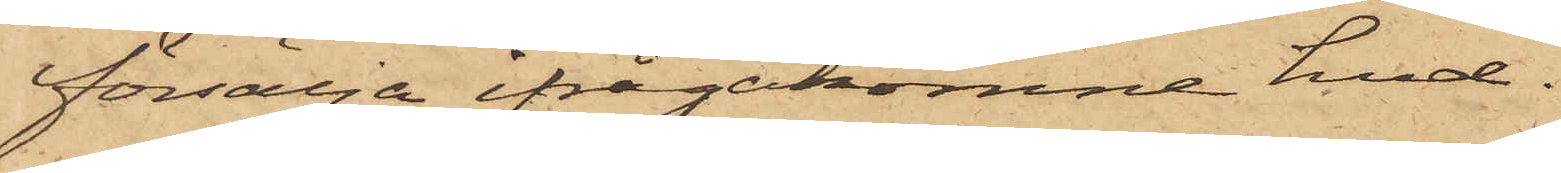försälja ifrågakomne hud.
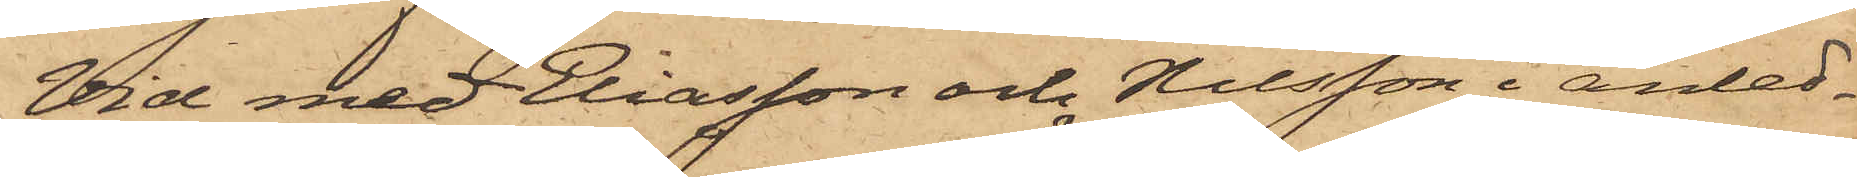Vid med Eliasson och Nilsson i anled¬
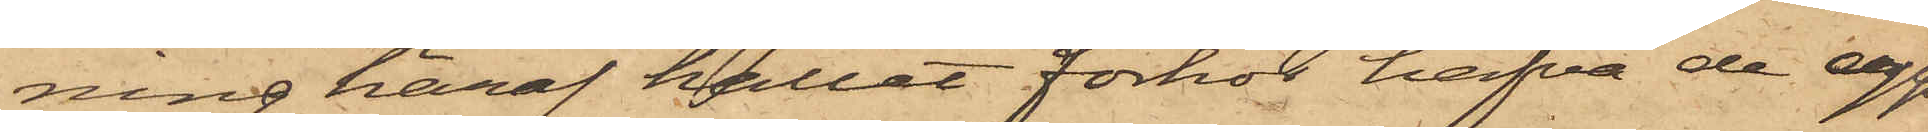ning häraf hållet förhör hafva de upp¬
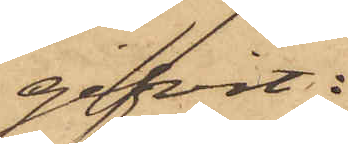gifvit:
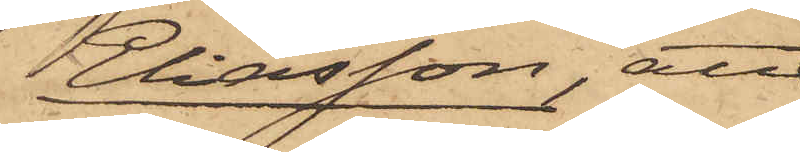Eliasson, att
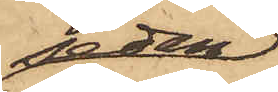sedan
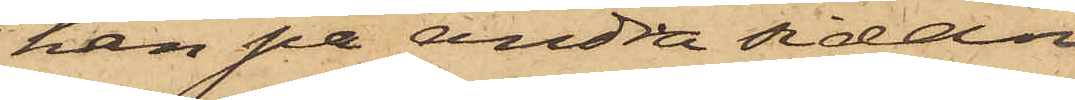han på andra sidan
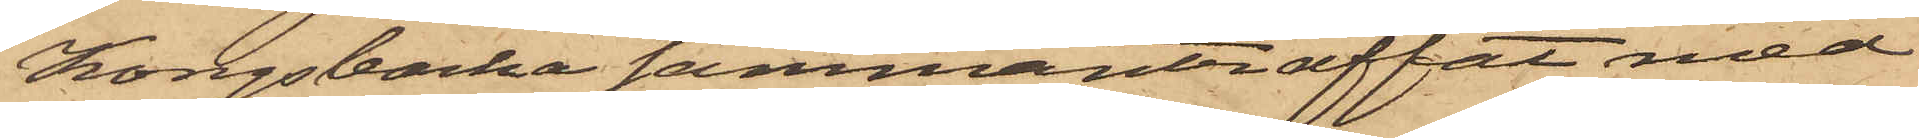Kongsbacka sammanträffat med
